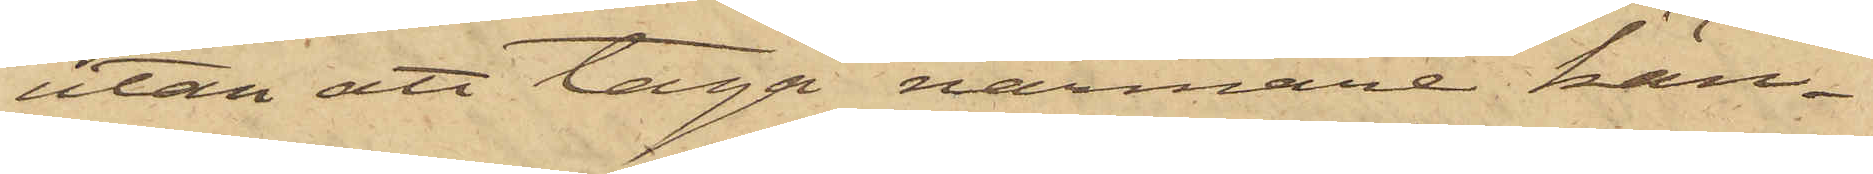utan att taga närmare kän¬
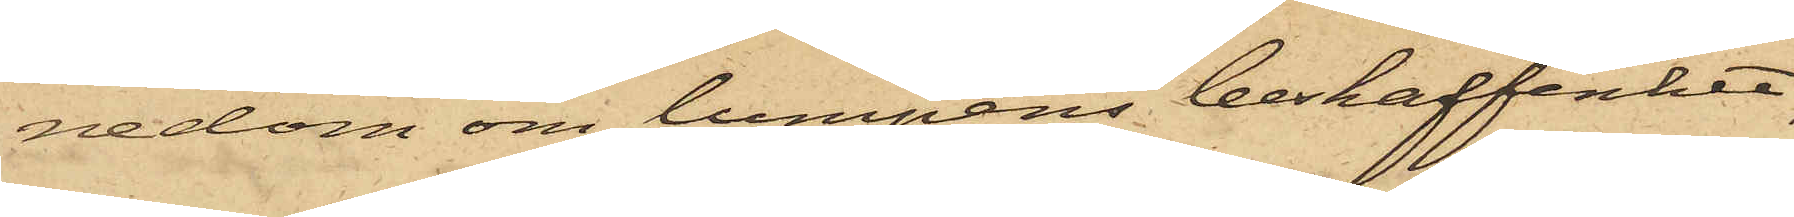nedom om lumpens beskaffenhet,
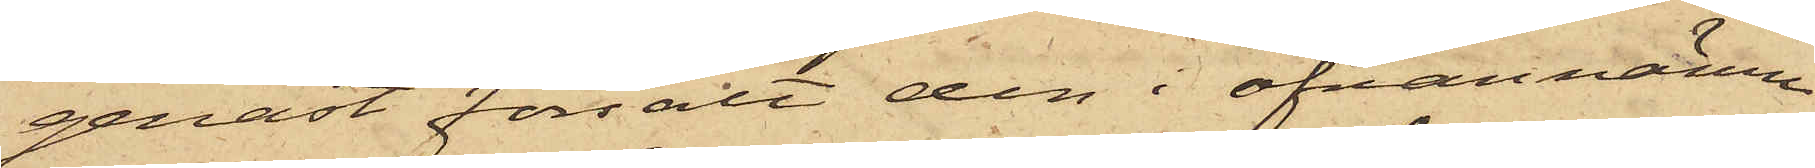genast försålt den i ofvannämn¬
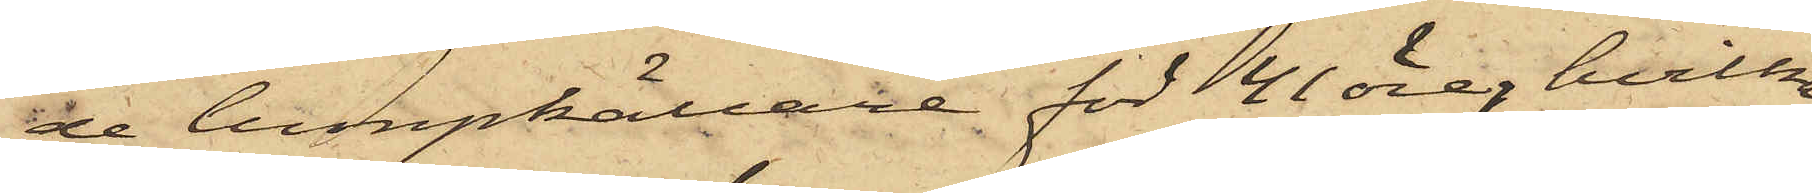de lumpkällare för 41 öre, hvilka
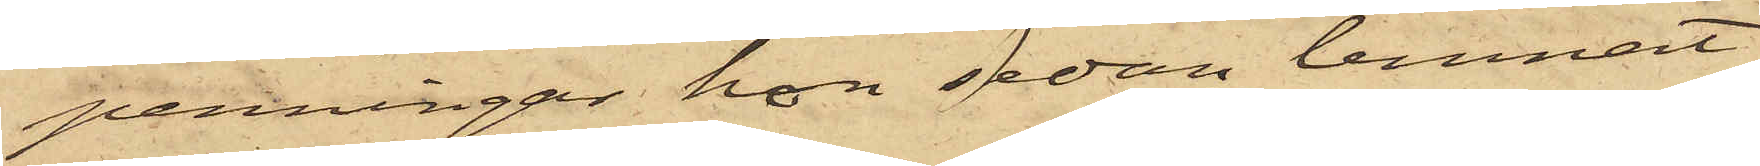penningar hon sedan lemnat
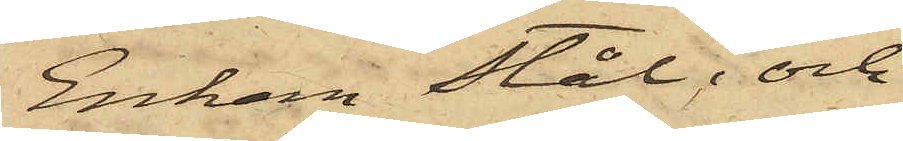Enkan Stål; och
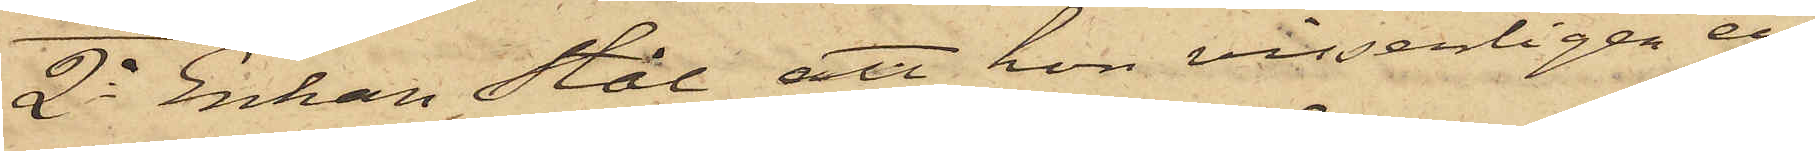2o Enkan Stål att hon visserligen ett
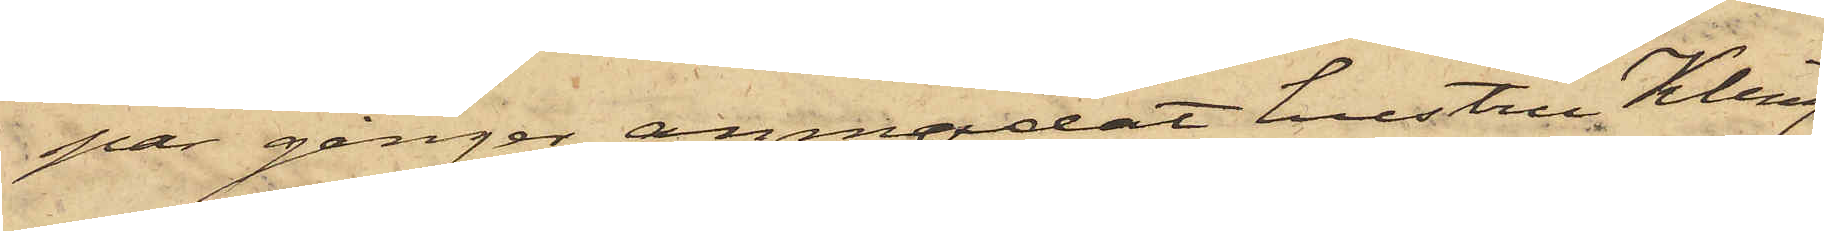par gånger anmodat hustru Kling
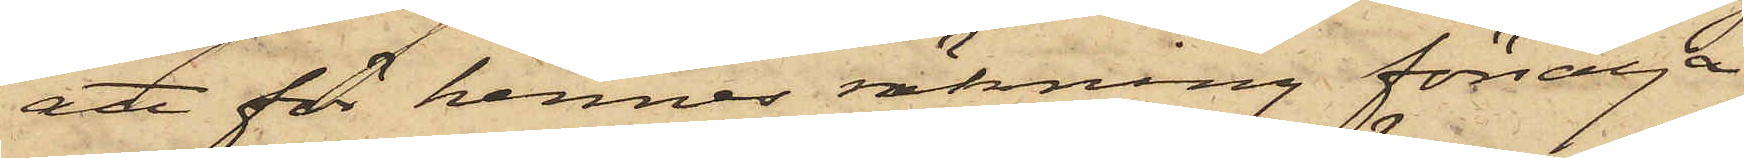att för hennes räkning försälja
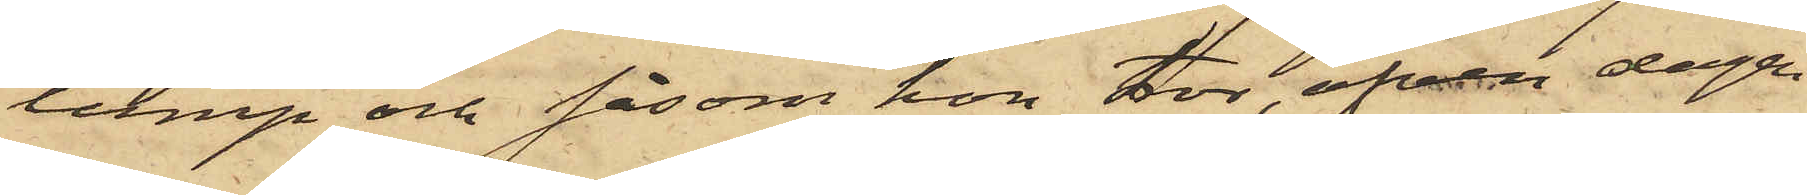lump och såsom hon tror, äfven dagen
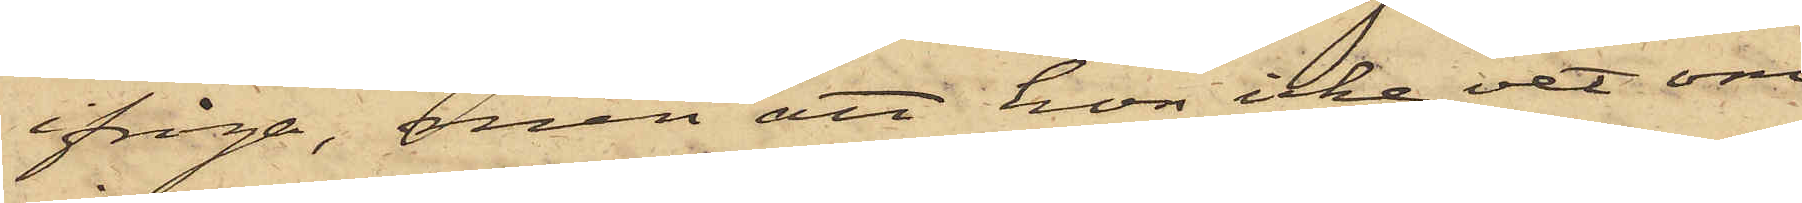ifråga, men att hon icke vet om
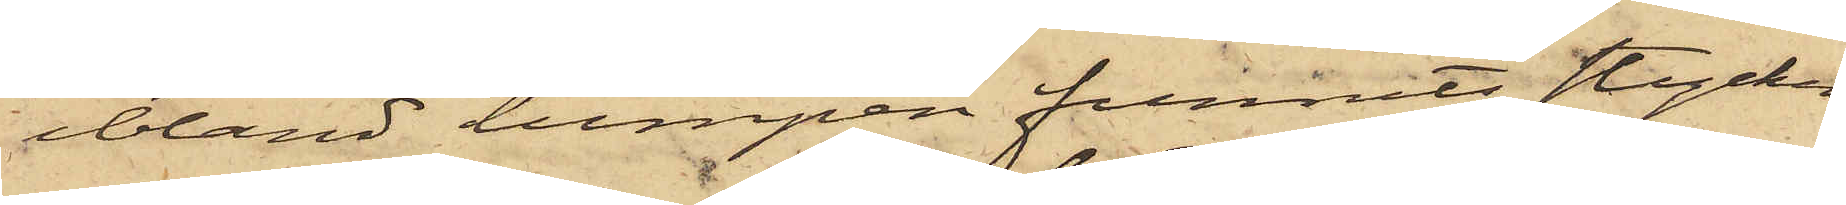ibland lumpen funnits stycken
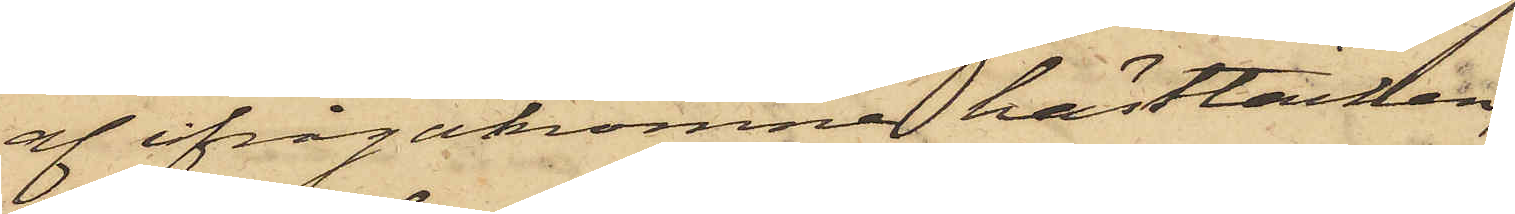af ifrågakomne hästtäcken,
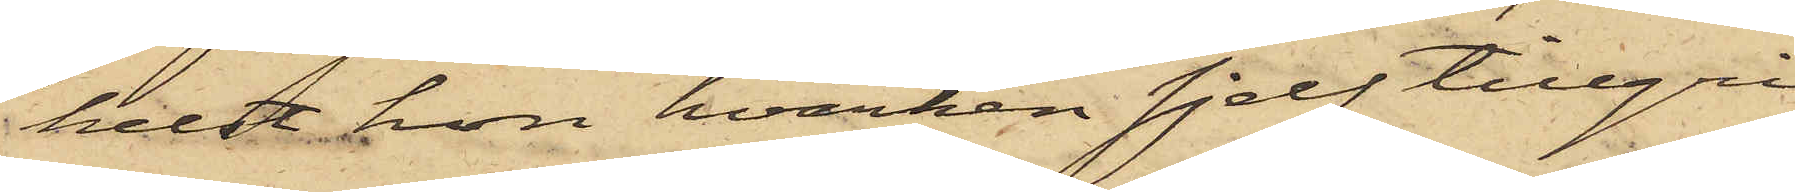helst hon hvarken sjelf tillgri¬
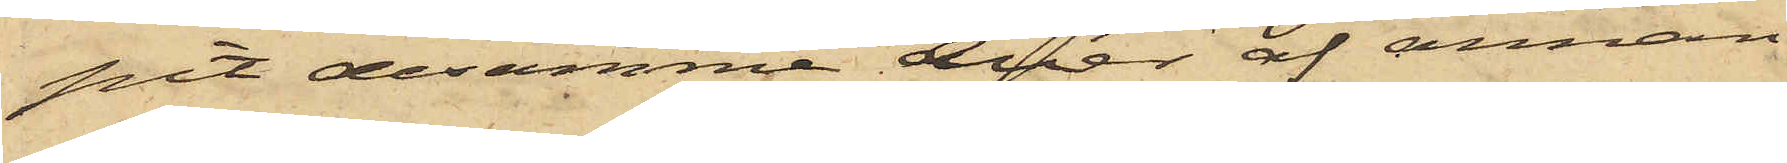pit desamme eller af annan
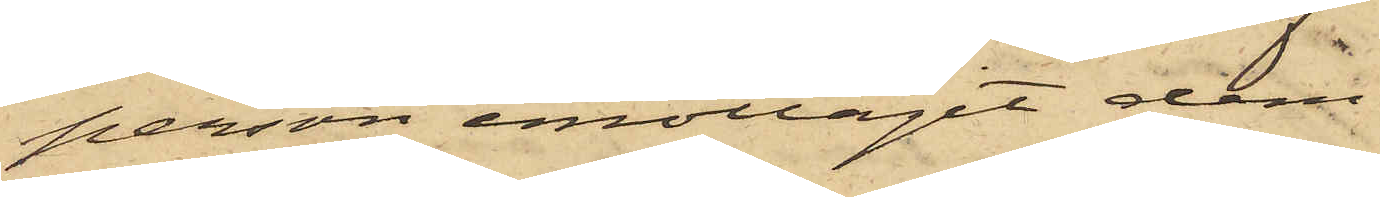person emottagit dem.
